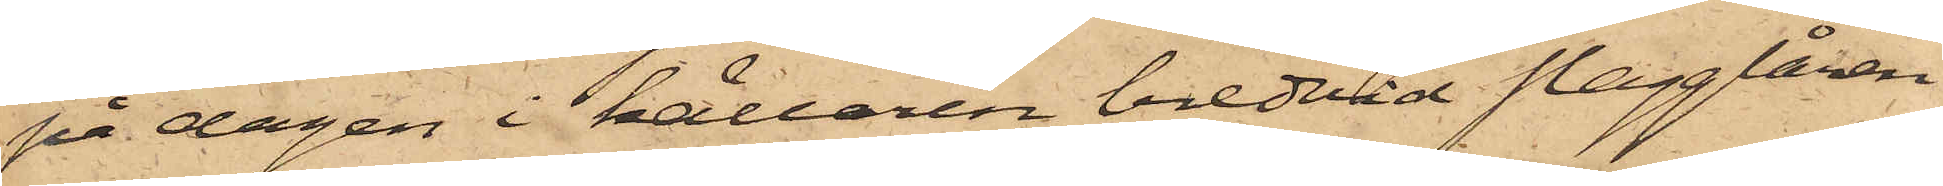på dagen i källaren bredvid slagglåren
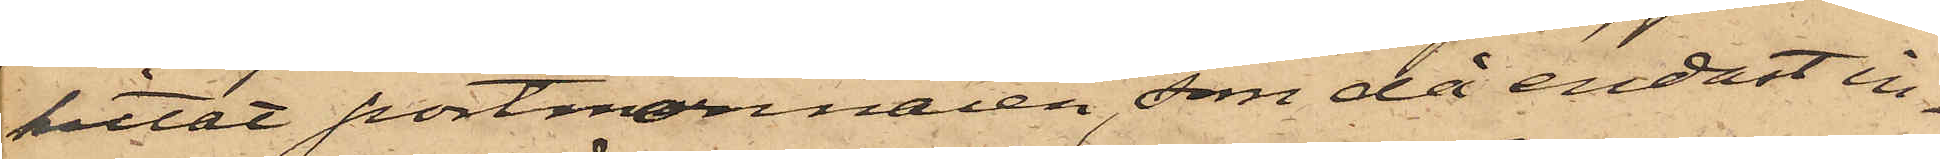hittat portmonnaien, som då endast in¬
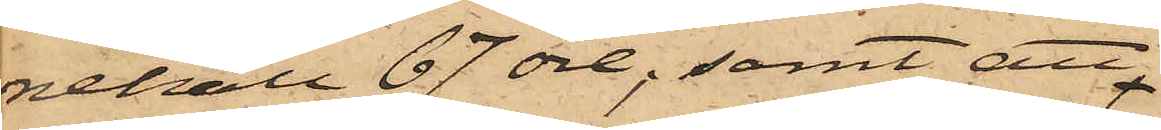nehöll 67 öre; samt att
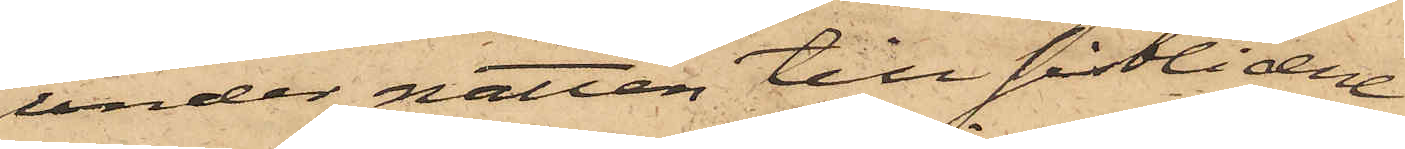under natten till sistlidne
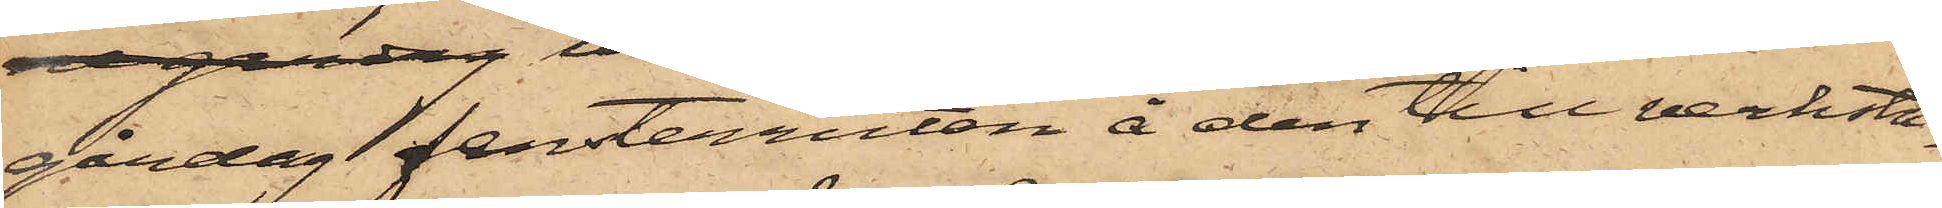gårdag fensterrutan å den till verksta¬
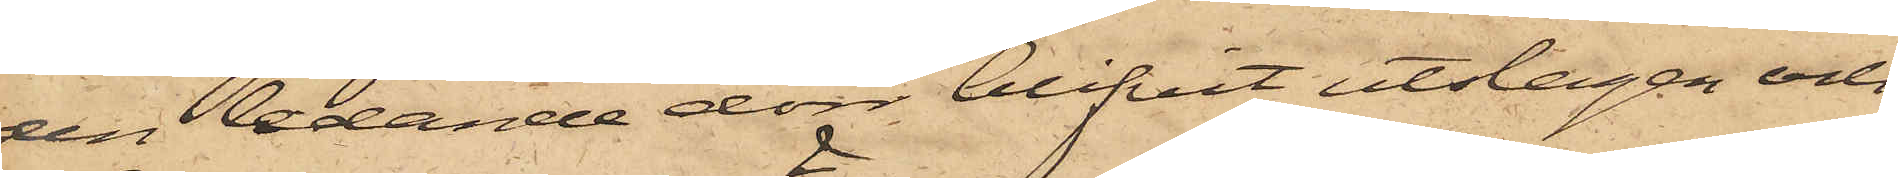den ledande dörr blifvit utslagen och
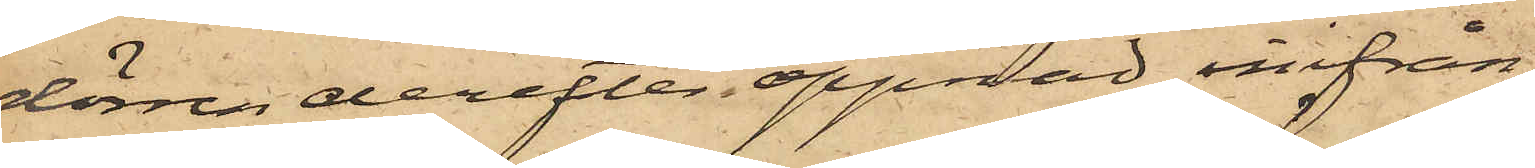dörren derefter öppnad inifrån,
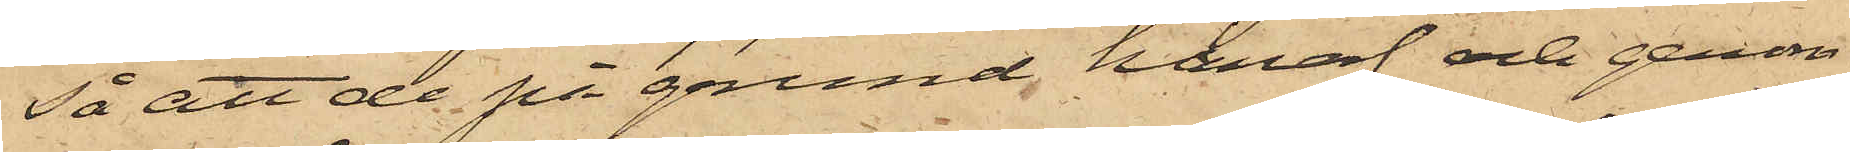så att de på grund häraf och genom
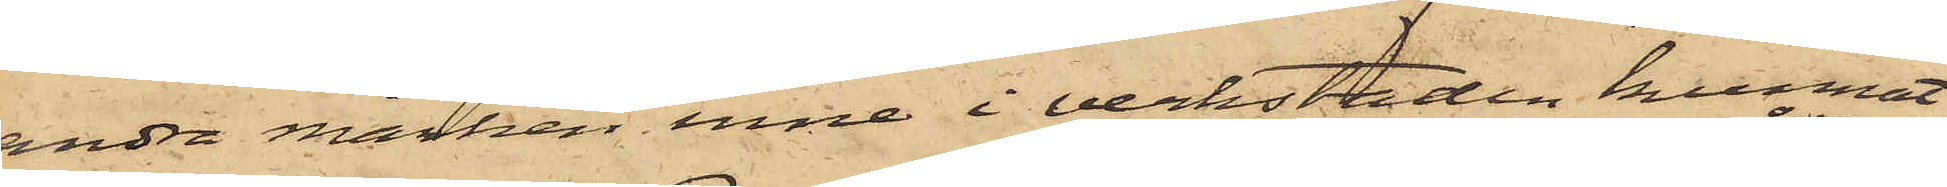andra märken inne i verkstaden kunnat
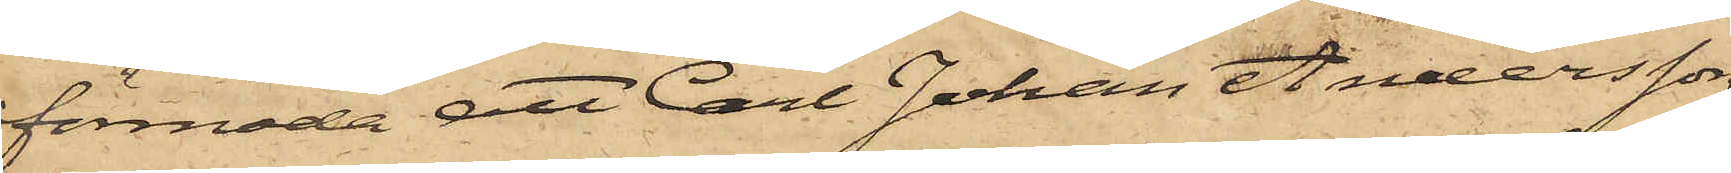förmoda att Carl Johan Andersson
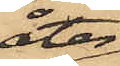åter
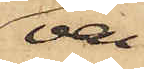var¬
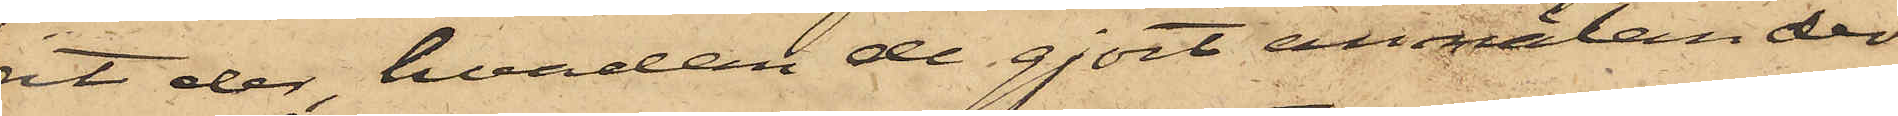it der, hvadan de gjort anmälan der¬
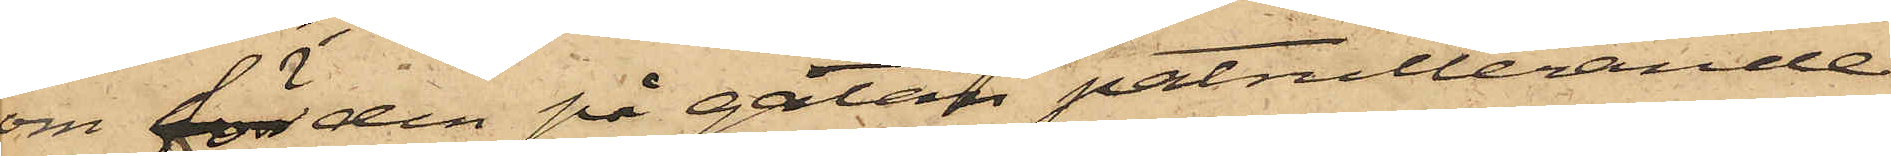om för den på gatan patrullerande
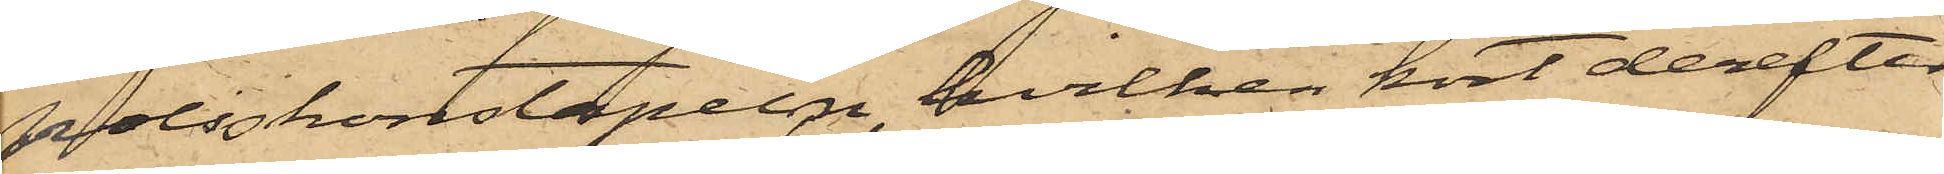poliskonstapeln, hvilken kort derefter
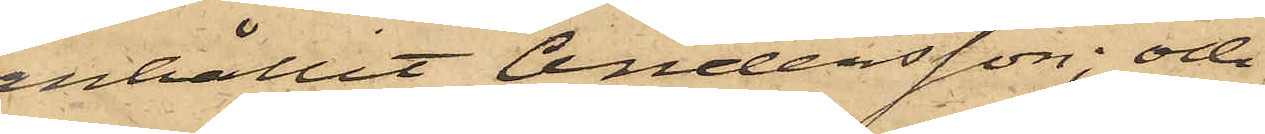anhållit Andersson; och
